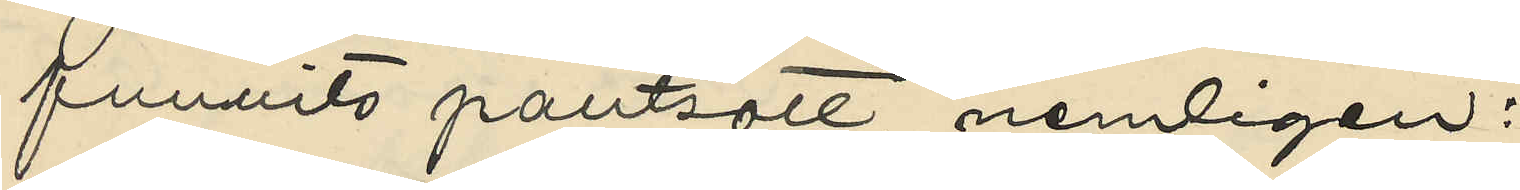funnits pantsatt, nemligen:
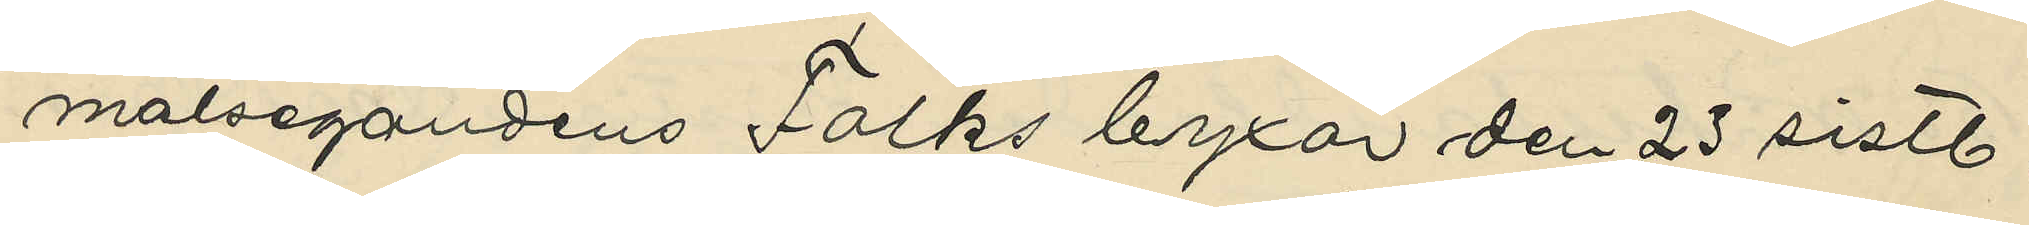malsegandens Falks byxor den 23 sistl.
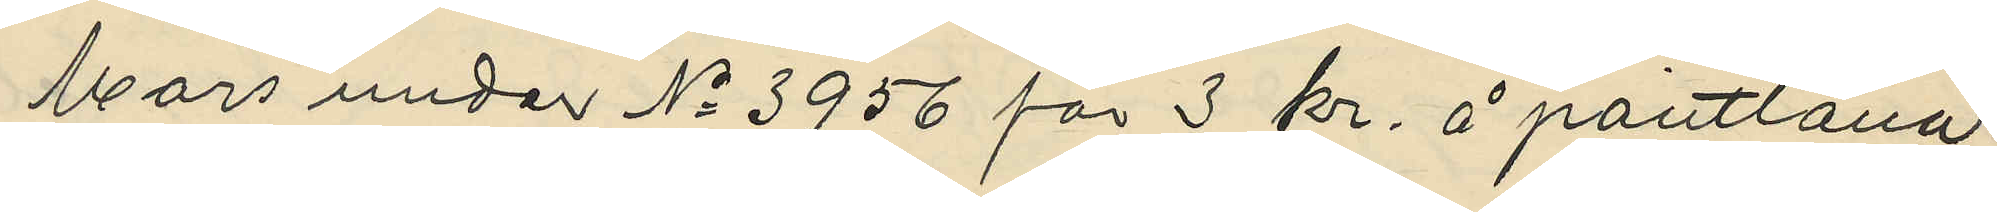Mars under No 3956 för 3 kr. å pantlåna¬
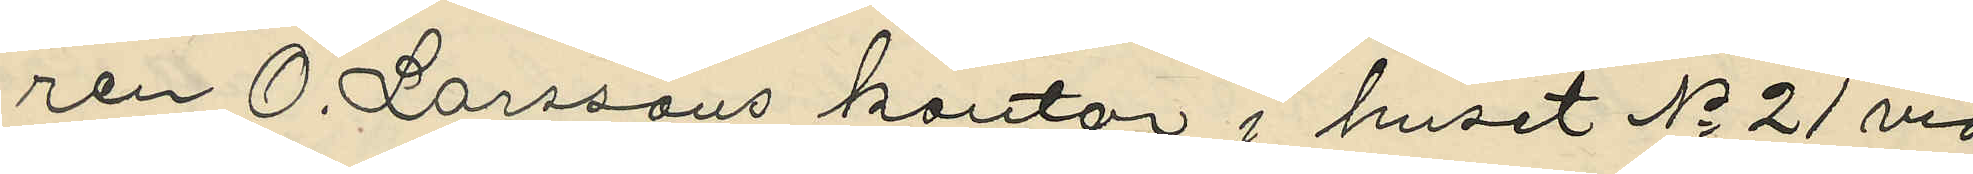ren O. Larssons kontor i huset No 21 vid
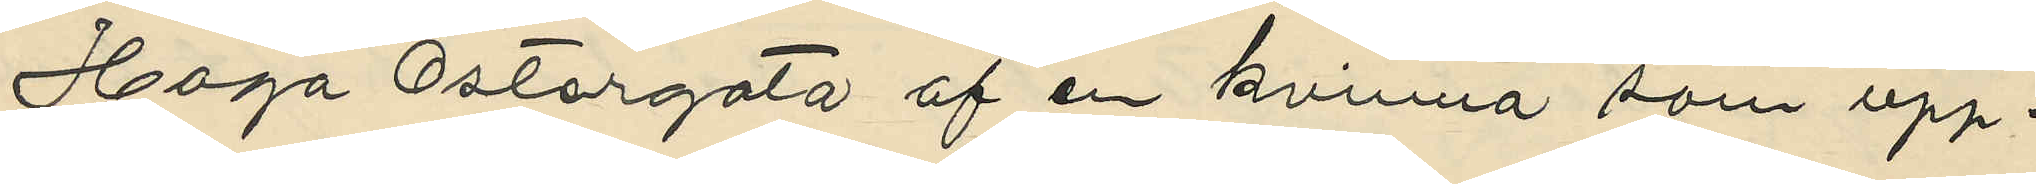Haga Östergata af en kvinna som upp¬
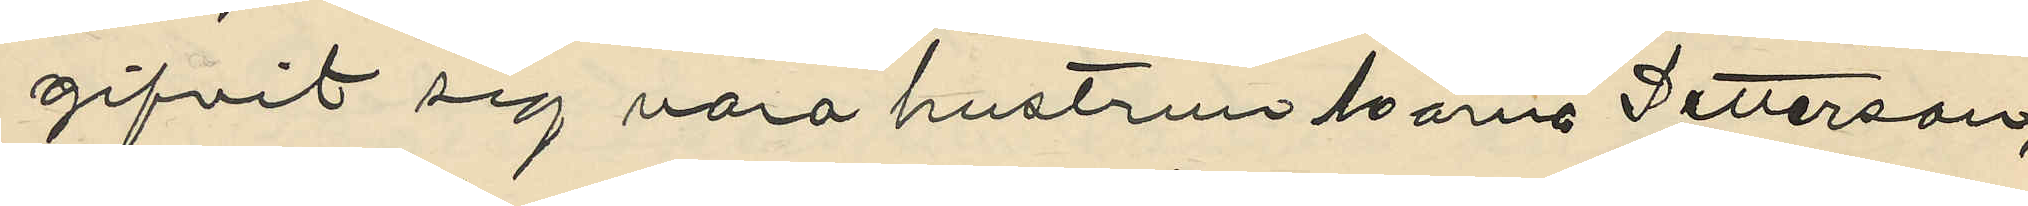gifvit sig vara hustrun Maria Petterson,
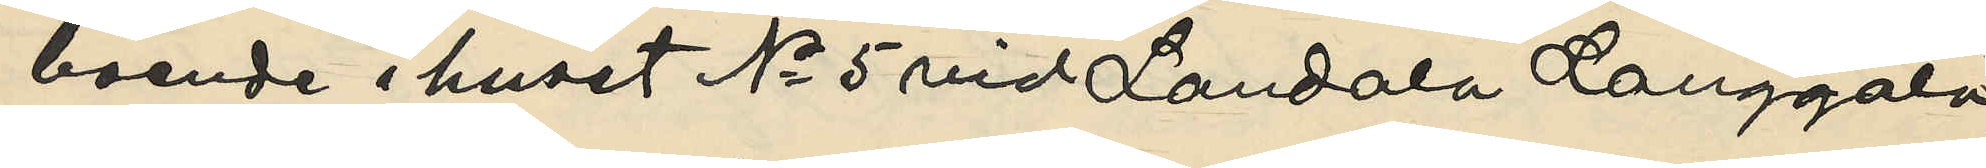boende i huset No 5 vid Landala Langgata,
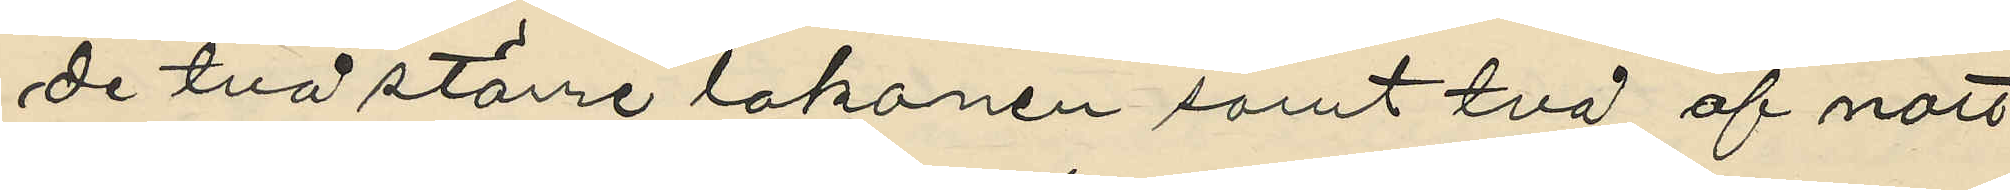de två större lakanen samt två af natt
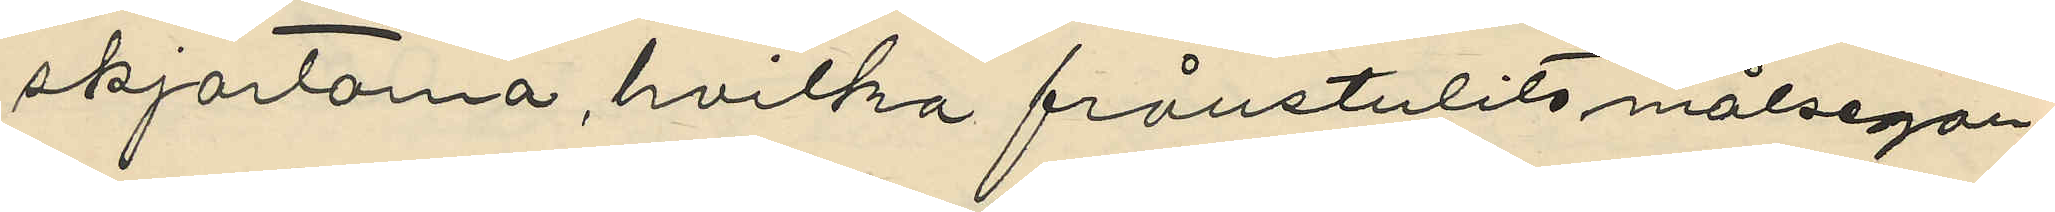skjortorna, hvilka frånstulits målsegan¬
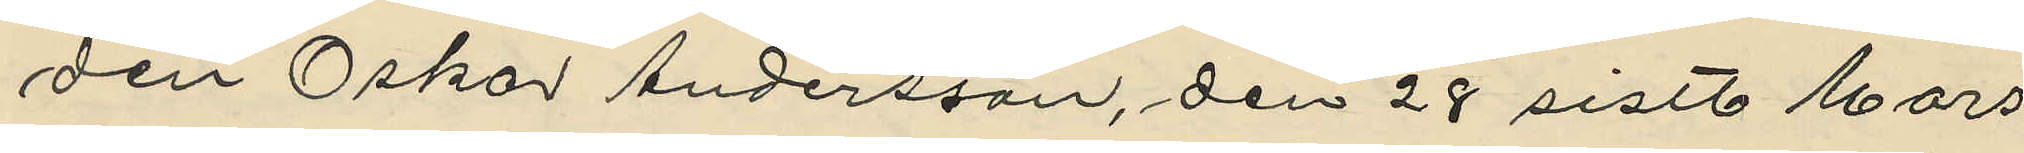den Oskar Andersson, den 28 sistl. Mars
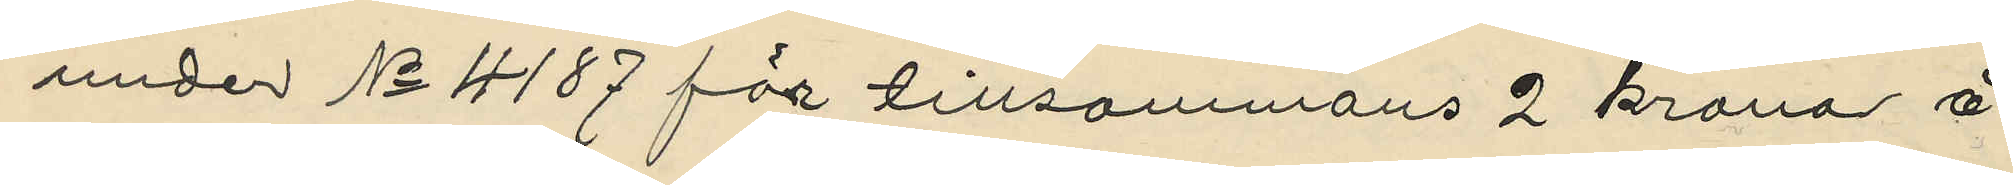under No 4187 för tillsammans 2 kronor å
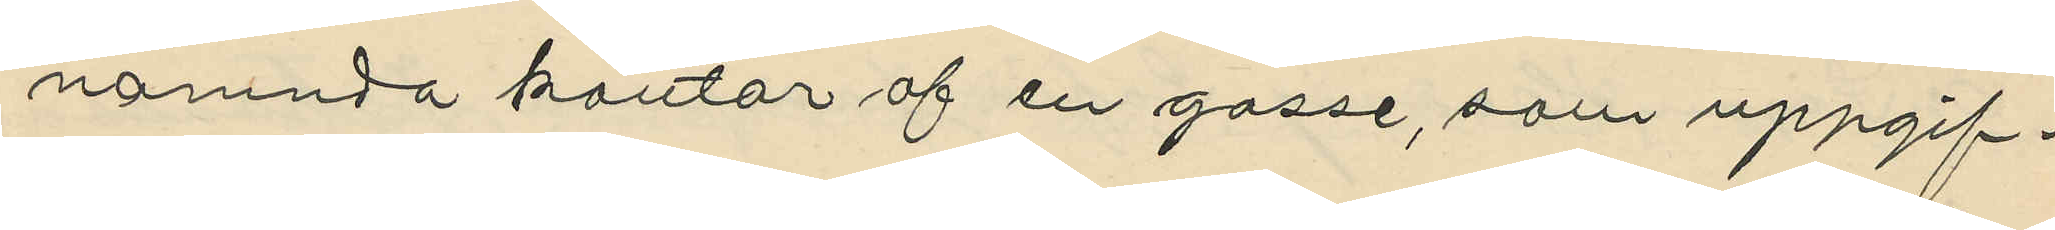nämnda kontor af en gosse, som uppgif¬
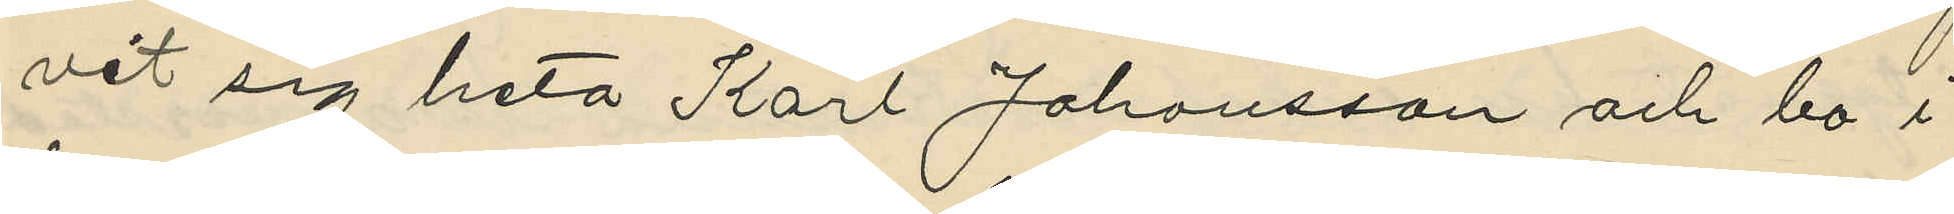vit sig heta Karl Johansson och bo i
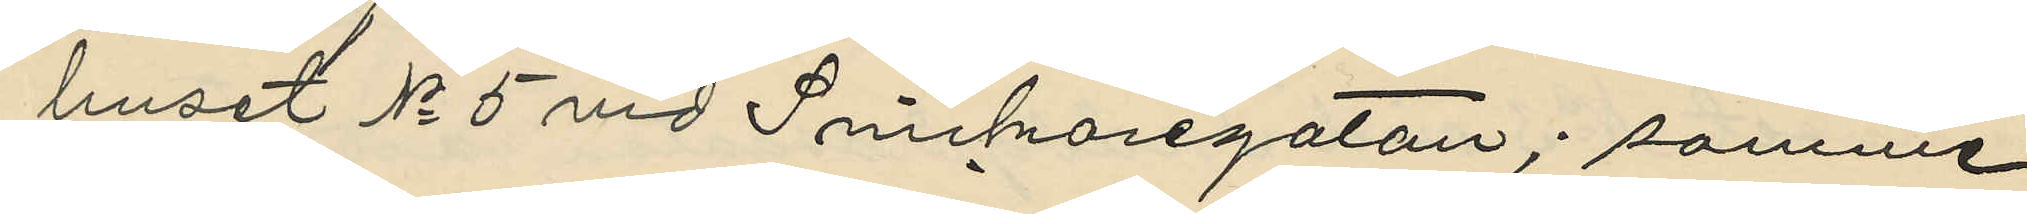huset No 5 vid Snickaregatan; samme
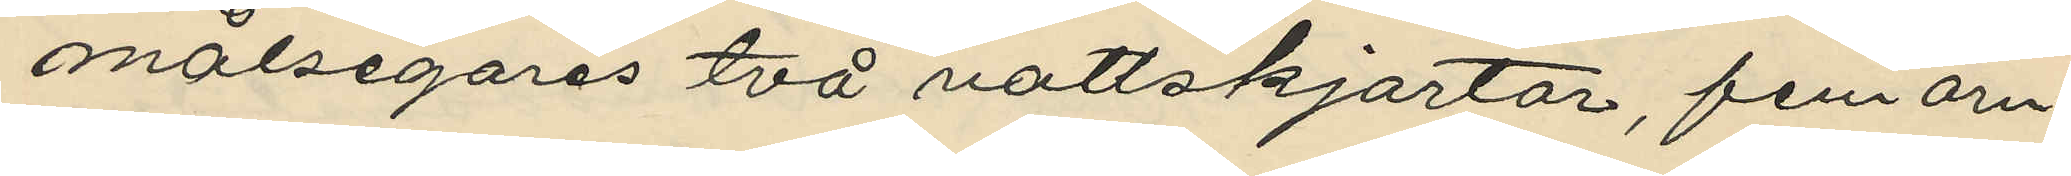målsegares två nattskjortor, fem örn¬
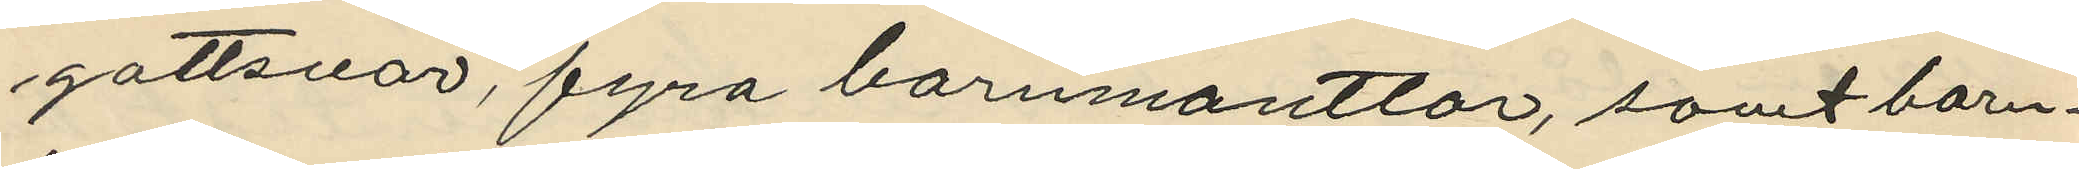gottsvar, fyra barnmantlar, samt barn¬
